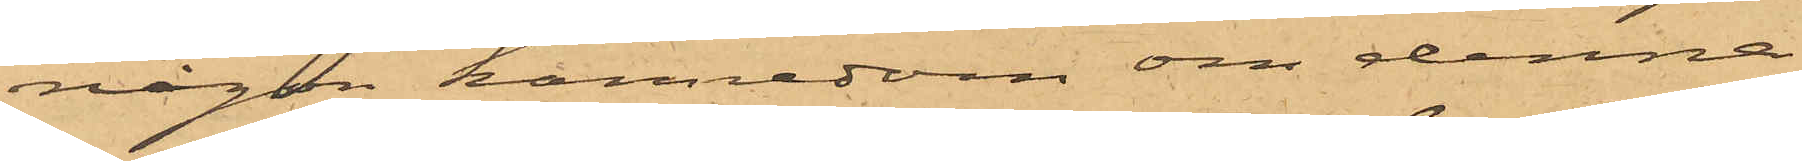någon kännedom om denna
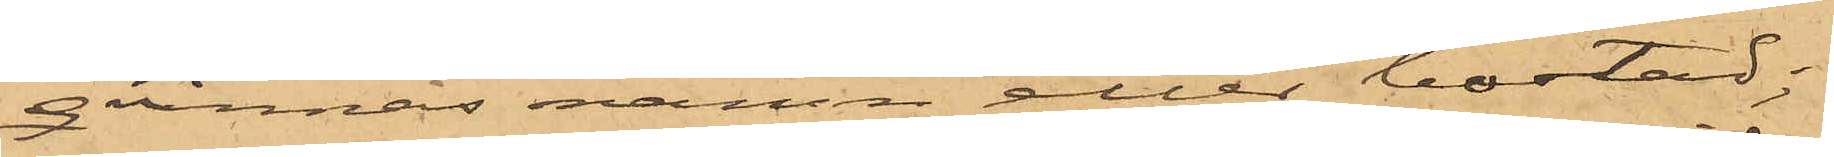qvinnas namn eller bostad;
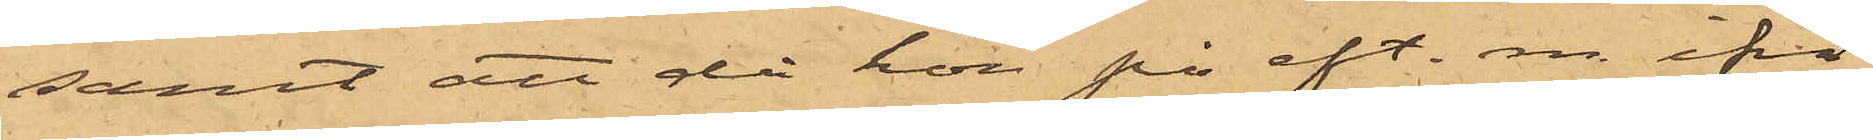samt att då hon på eft. m. ifrå¬
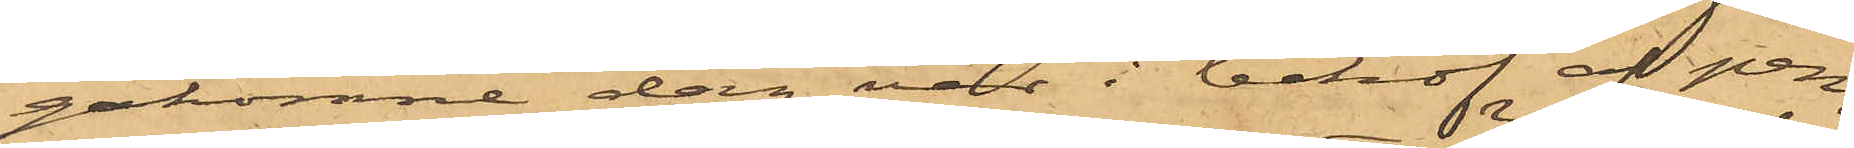gakomne dag var i behof af pen¬
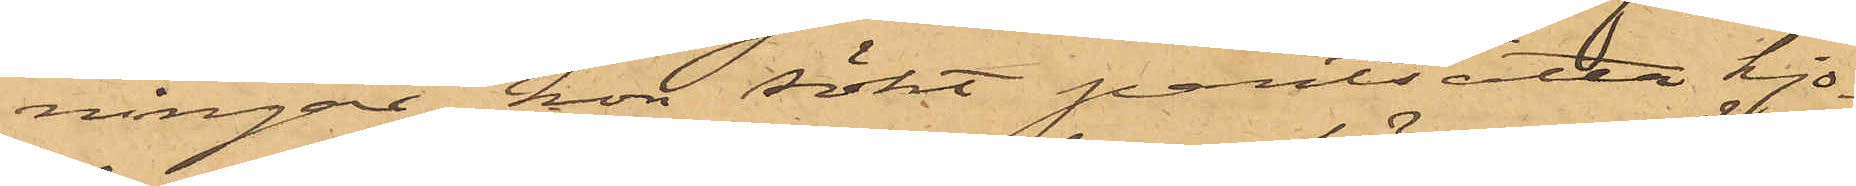ningar hon sökt pantsätta kjo¬
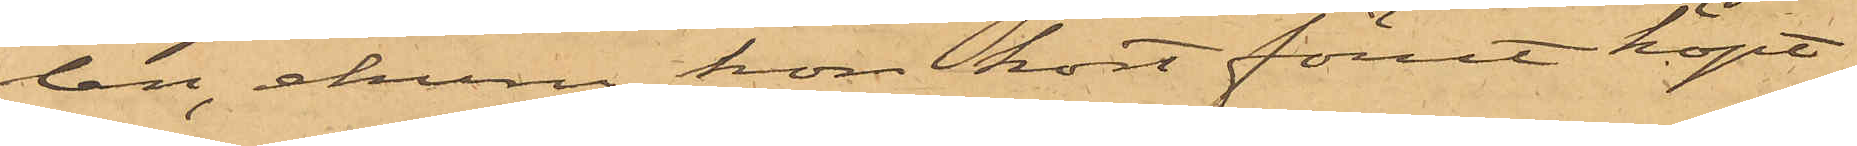len, ehuru hon kort förut köpt
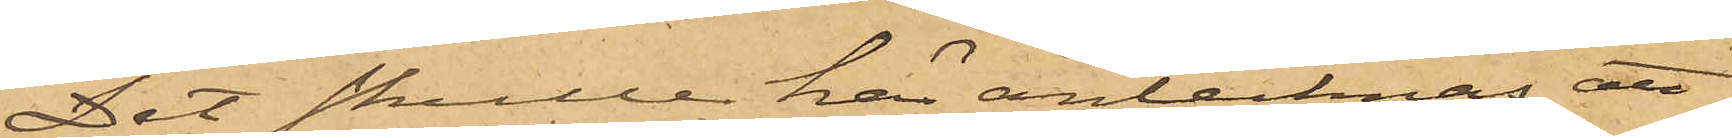Det skulle här antecknas, att
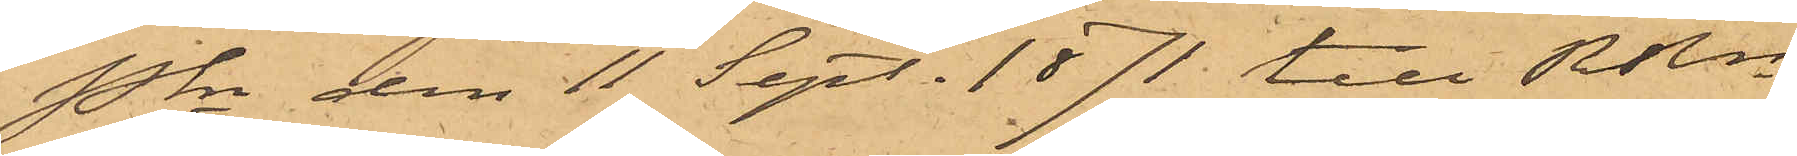Pkn den 11 Sept. 1871 till RRn
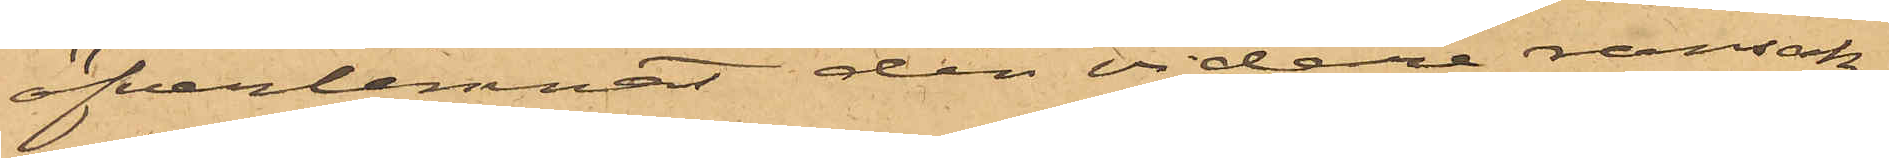öfverlemnat den vidare ransak¬
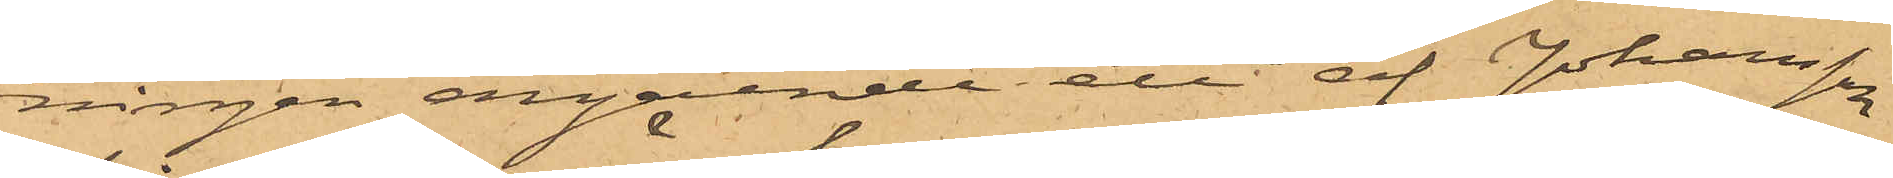ningen angående ett af Johansson
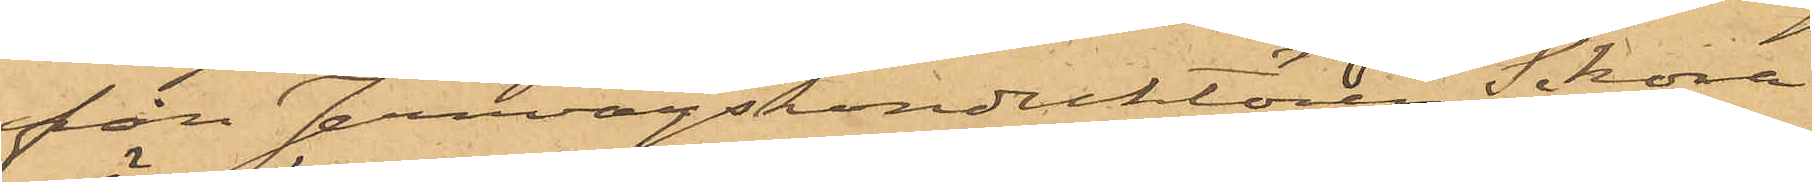från Jernvägskonduktören Sikora
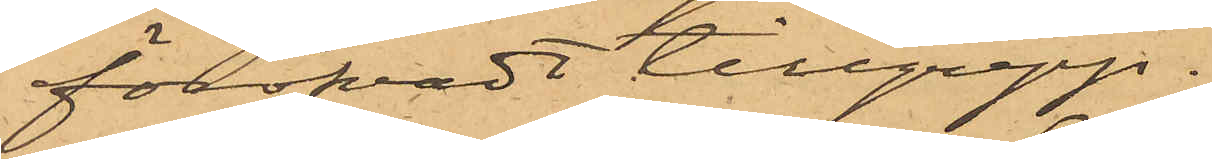föröfvadt tillgrepp.
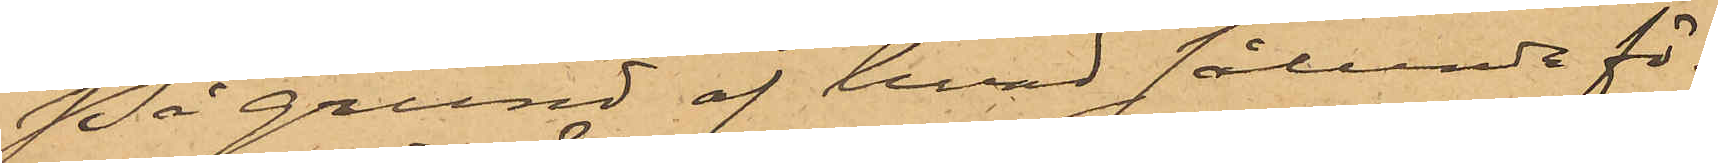På grund af hvad sålunda fö¬
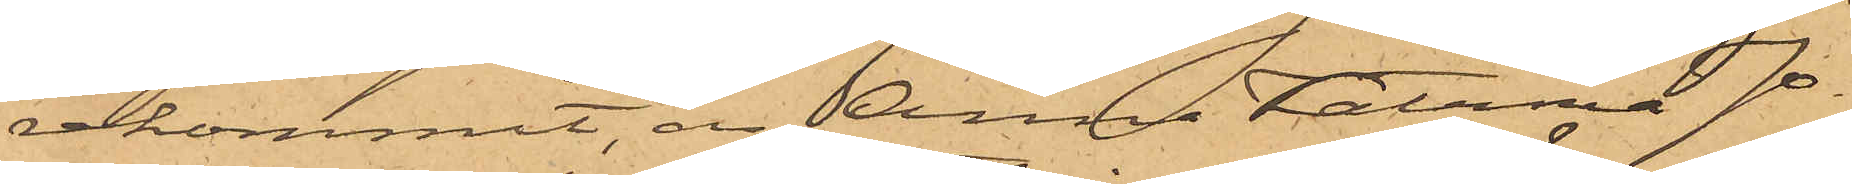rekommit, är Anna Katrina Jo¬
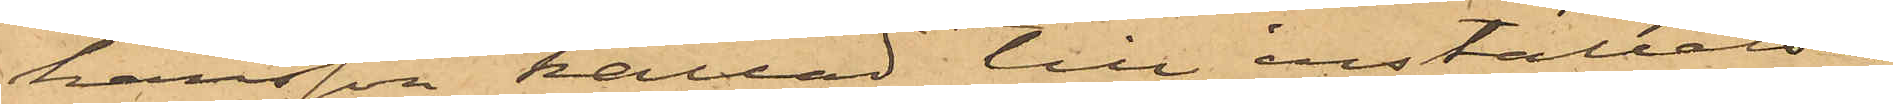hansson kallad till inställelse
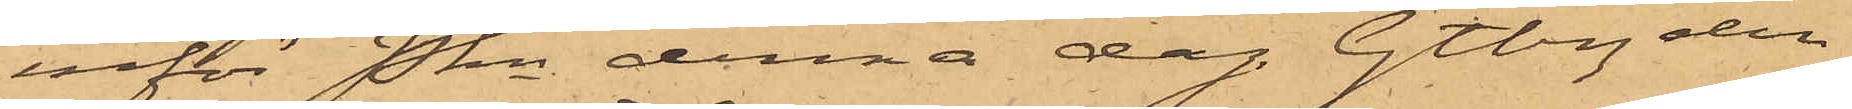inför Pkn denna dag. Gtbg den
